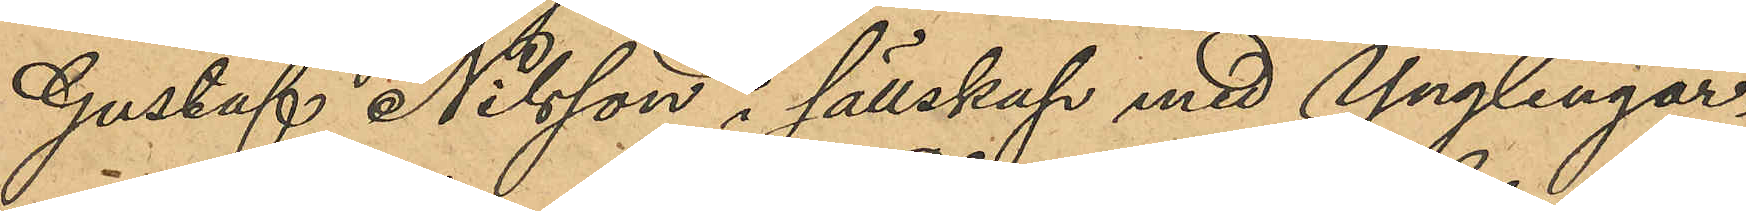Gustaf Nilsson i sällskap med Ynglingar¬
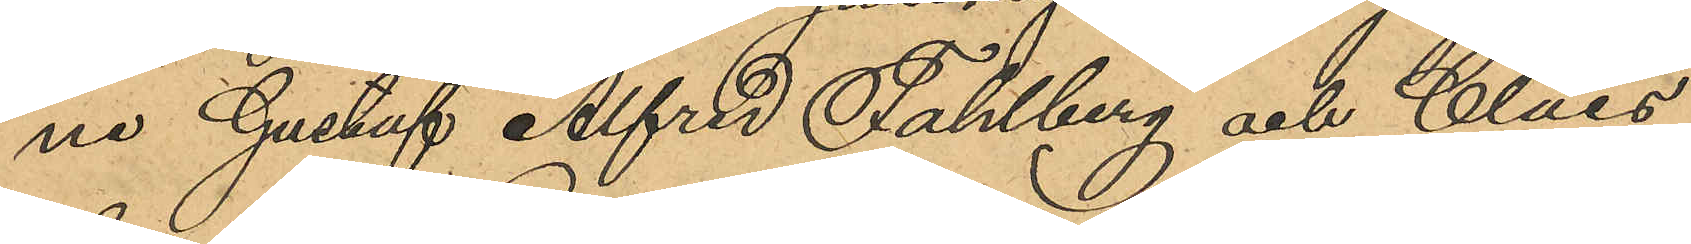ne Gustaf Alfred Fahlberg och Claes
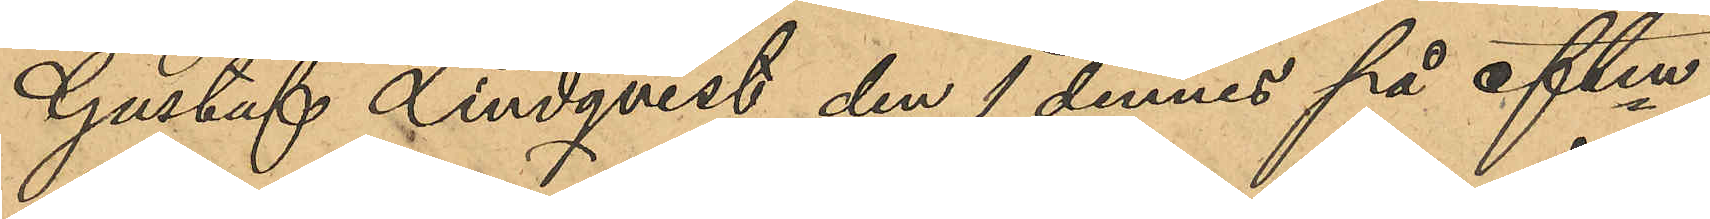Gustaf Lindqvist den 1 dennes på eftm
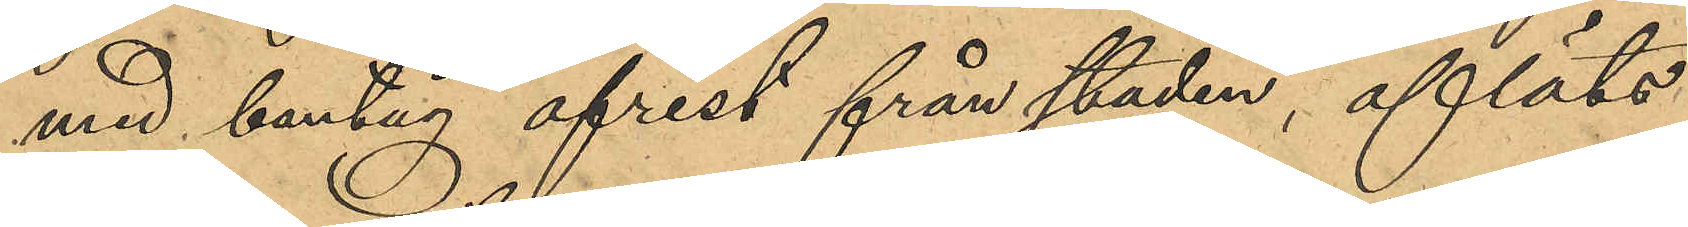med bantåg afrest från staden, afläts
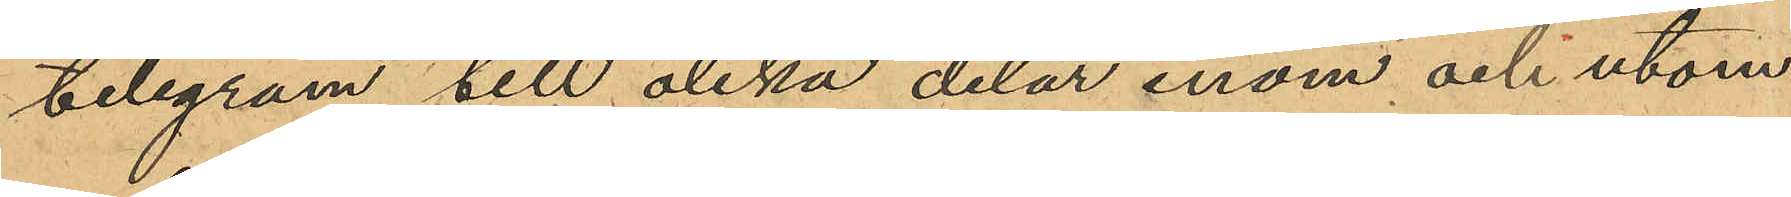telegram till olika delar inom och utom
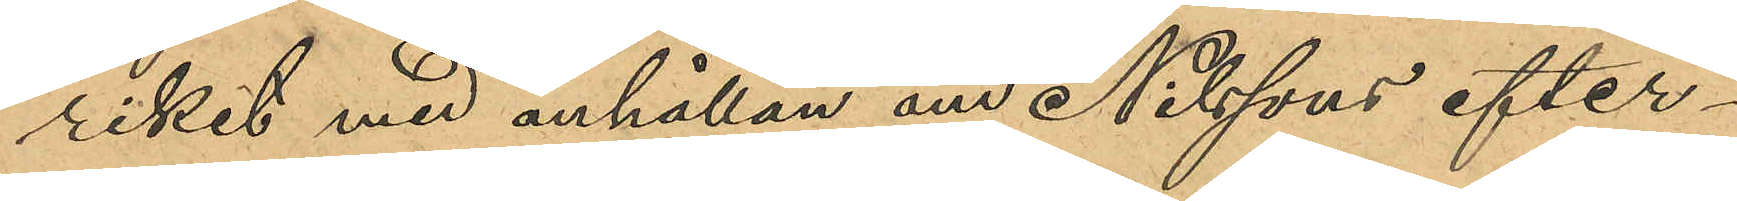riket med anhållan om Nilssons efter¬
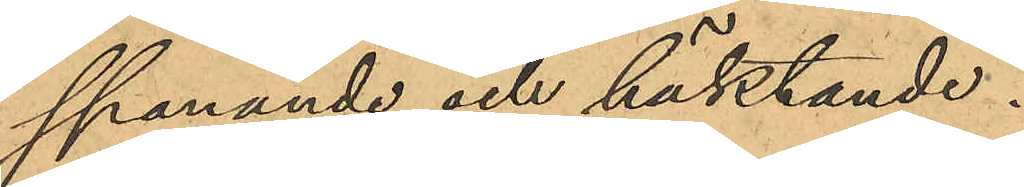spanande och häktande.
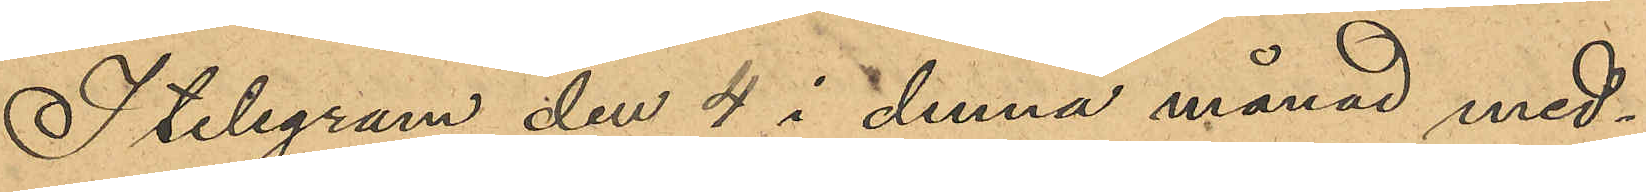I telegram den 4 i denna månad med¬
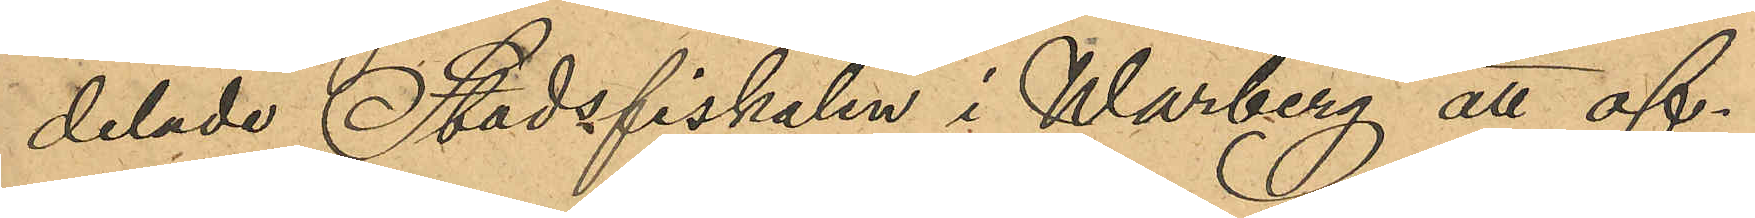delade Stadsfiskalen i Warberg att of¬
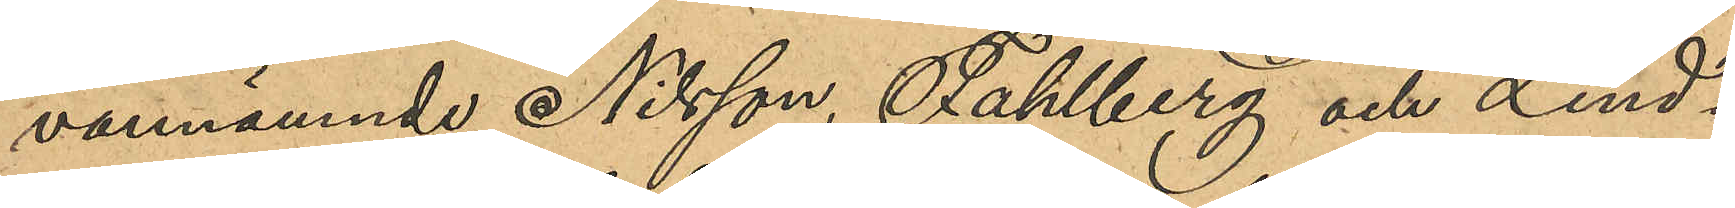vannämnde Nilsson, Sahlberg och Lind¬
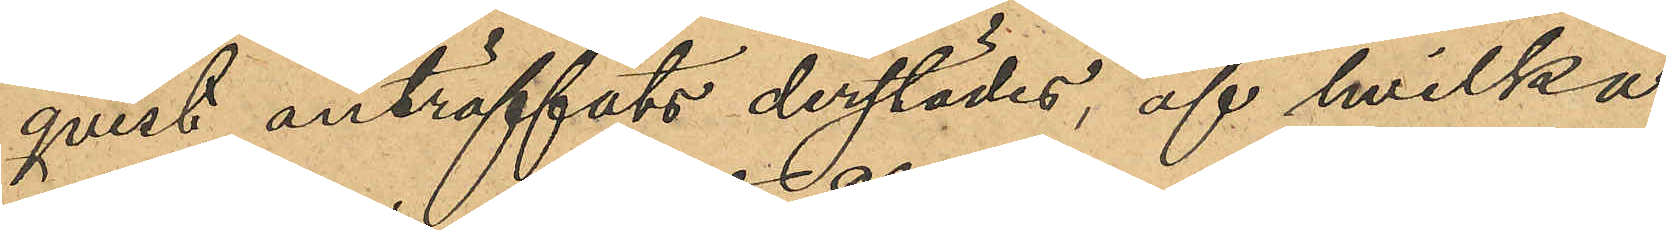qvist anträffats derstädes, af hvilka
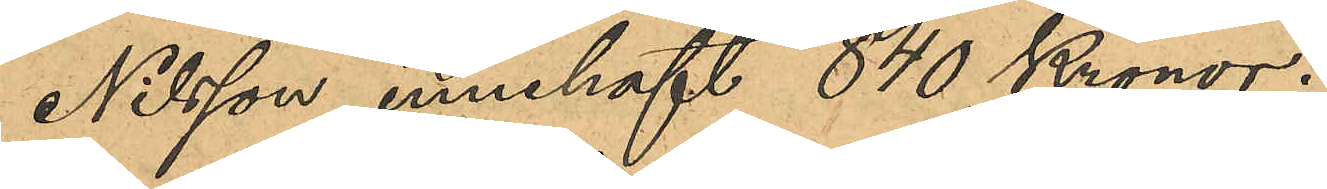Nilsson innehaft 840 Kronor.
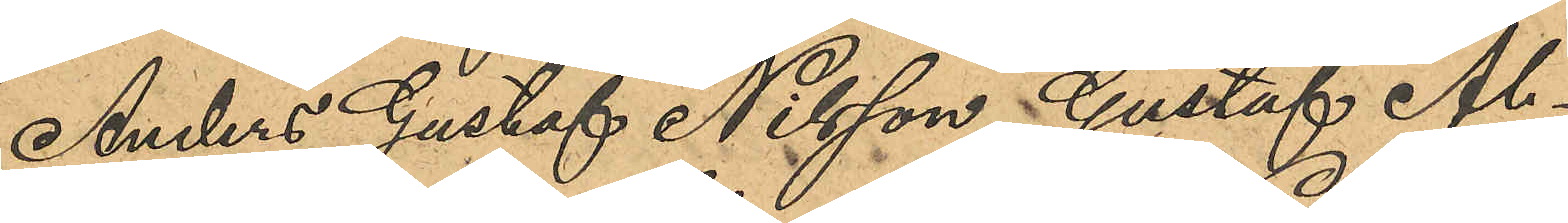Anders Gustaf Nilsson, Gustaf Al¬
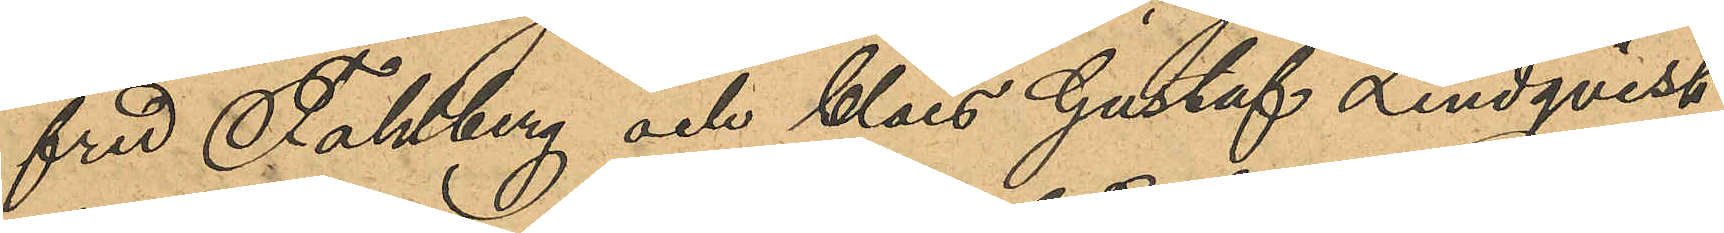fred Fahlberg och Claes Gustaf Lindqvist,
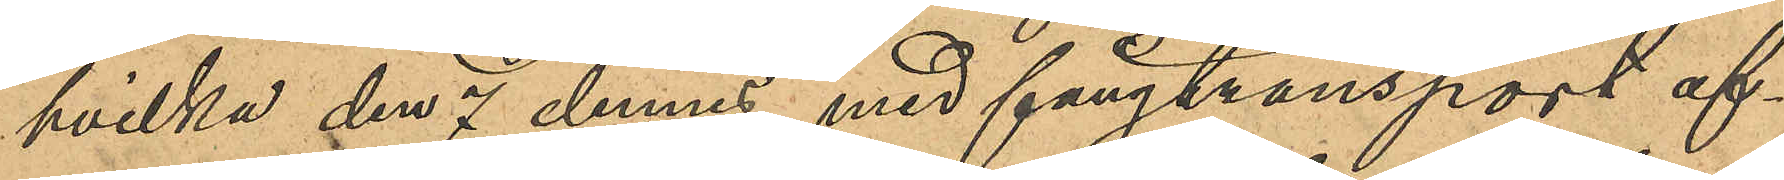hvilka den 7 dennes med fångtransport af¬
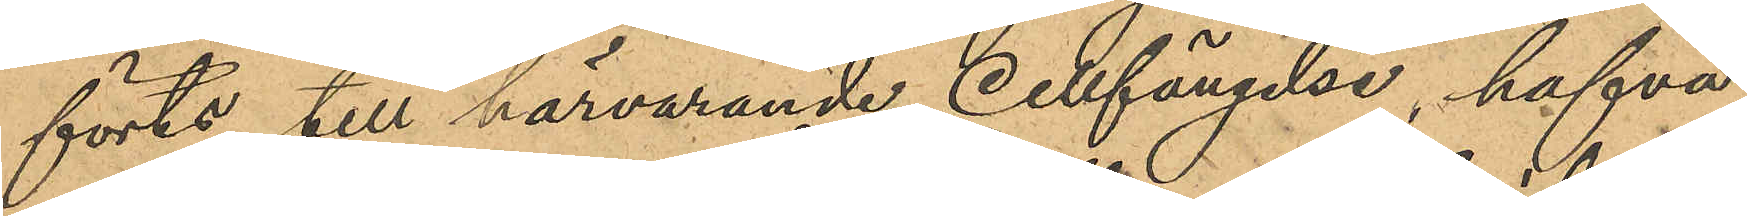förts till härvarande Cellfängelse, hafva
